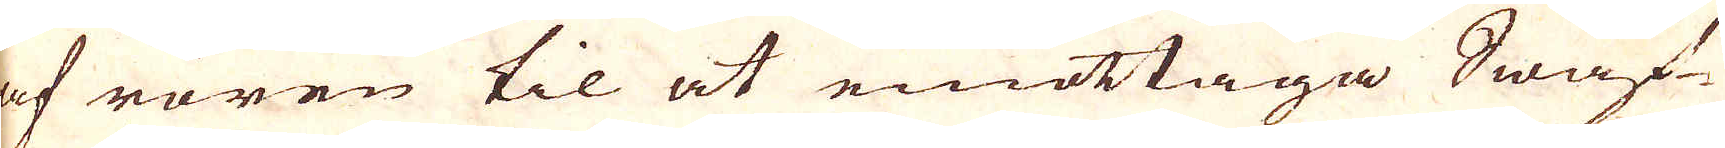af rören til at emottaga Swaf-
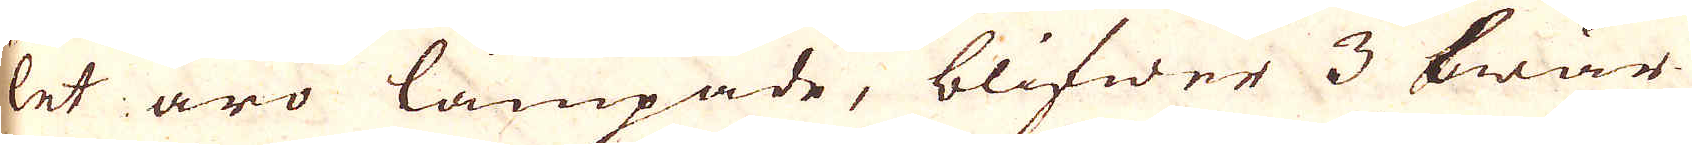let äro lämpade, blifwer 3 twär-
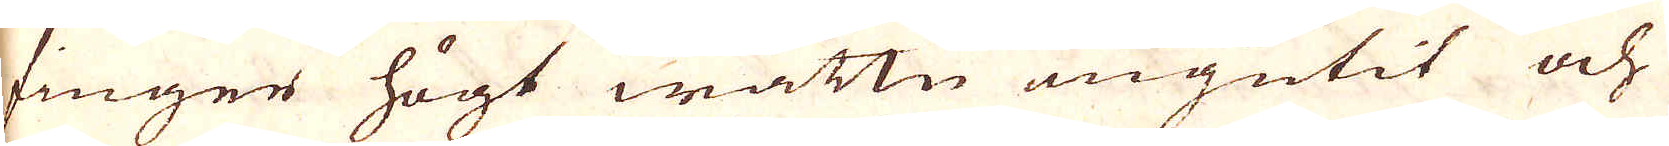finger högt wattn ingutit och
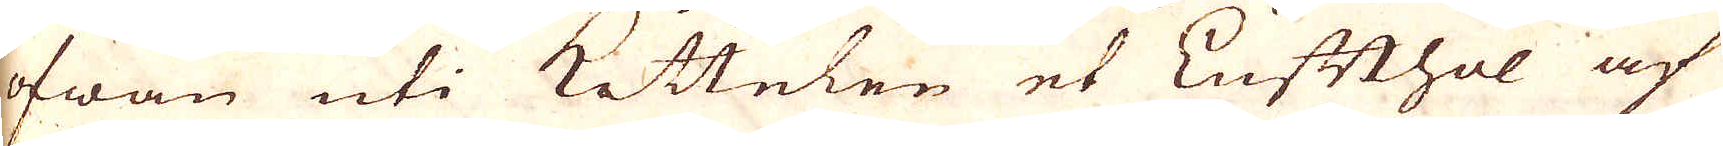ofwan uti Kittelen et Lufthol af
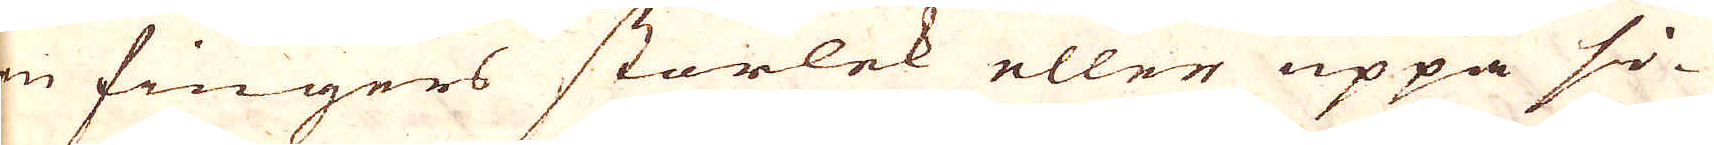en fingers storlek eller uppå si-
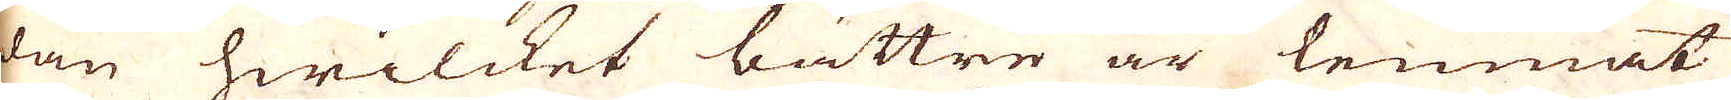dan hwilcket bättre är lemnat,
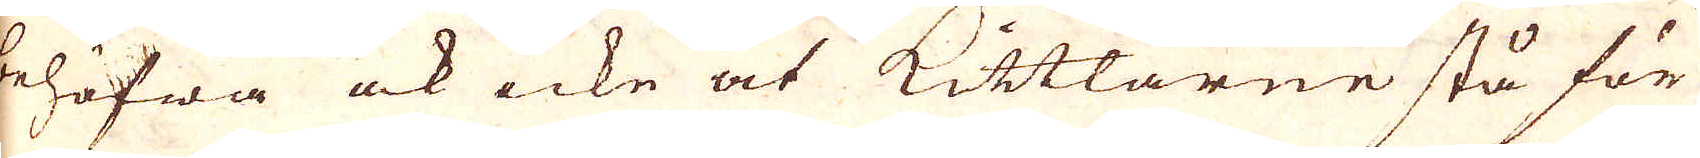behöfwa ock icke at Kittlarne stå för
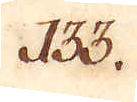133.
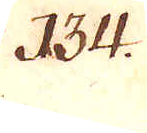134.
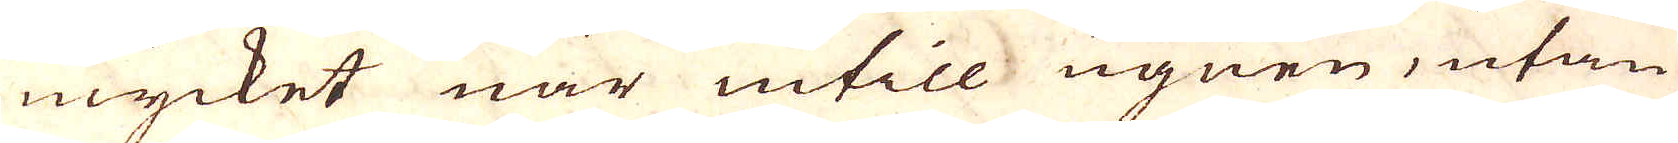mycket när intill ugnen, utan
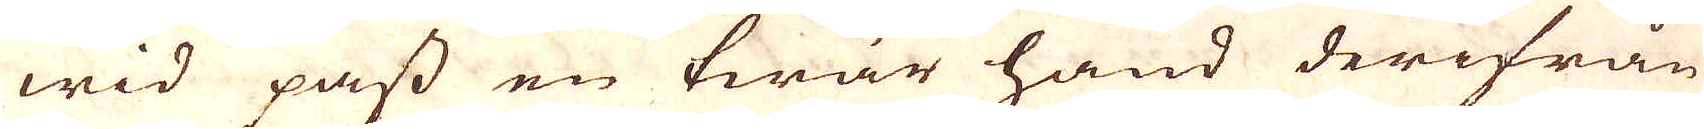wid pass en twär hand derifrån
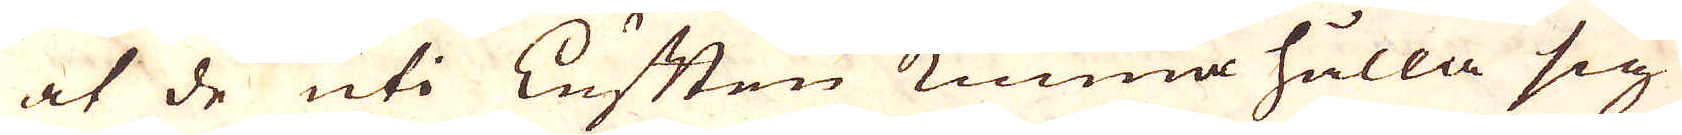at de uti Luften kunna hålla sig
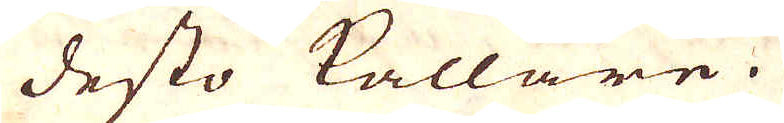desto kallare.
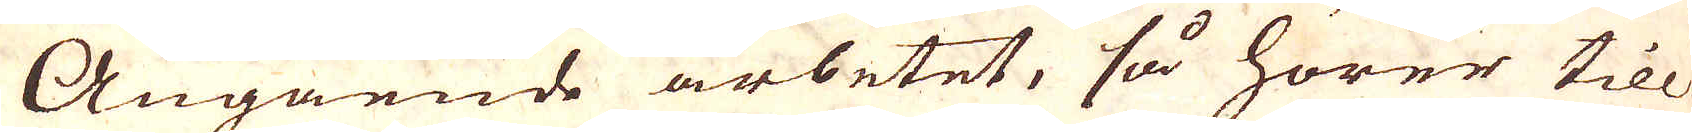Angående arbetet, så hörer till
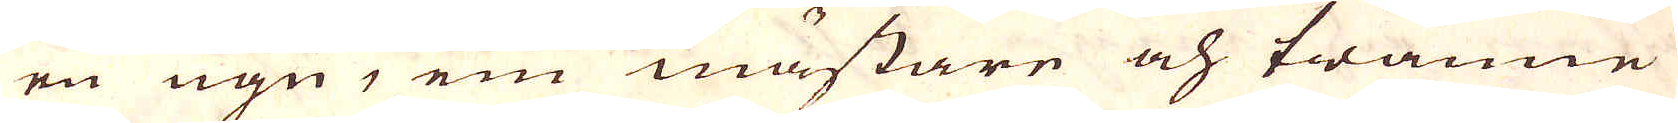en ugn, en mästare och twänne
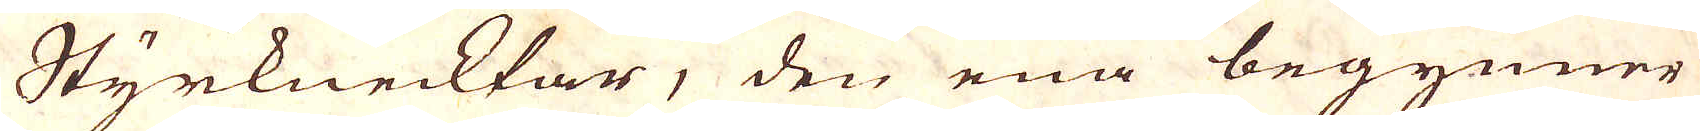Styrknecktar, den ena begynner
